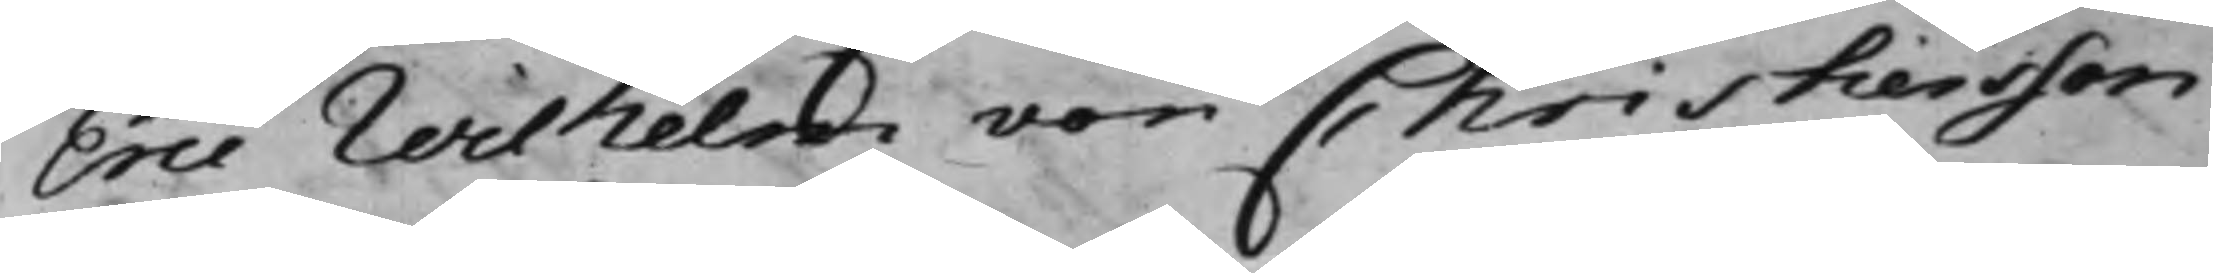Eric Wilhelm von Christiersson
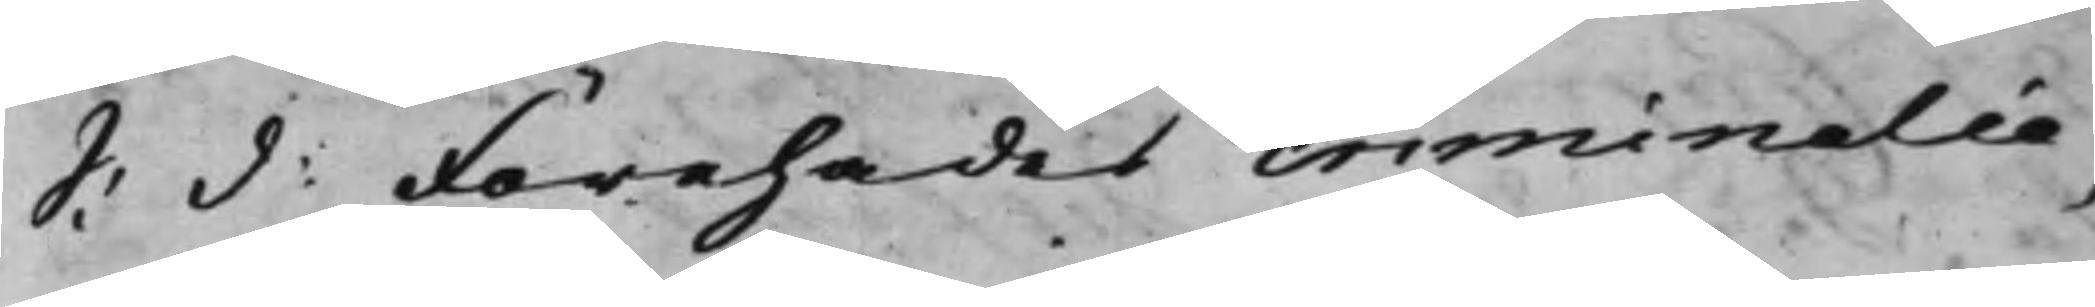S: d: Förehades crimnalia.
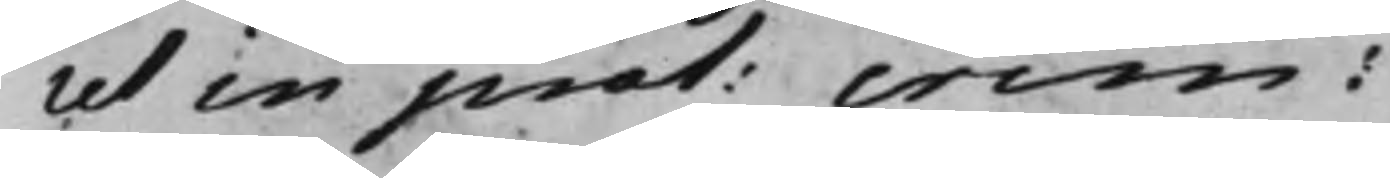ut in prot: crim:
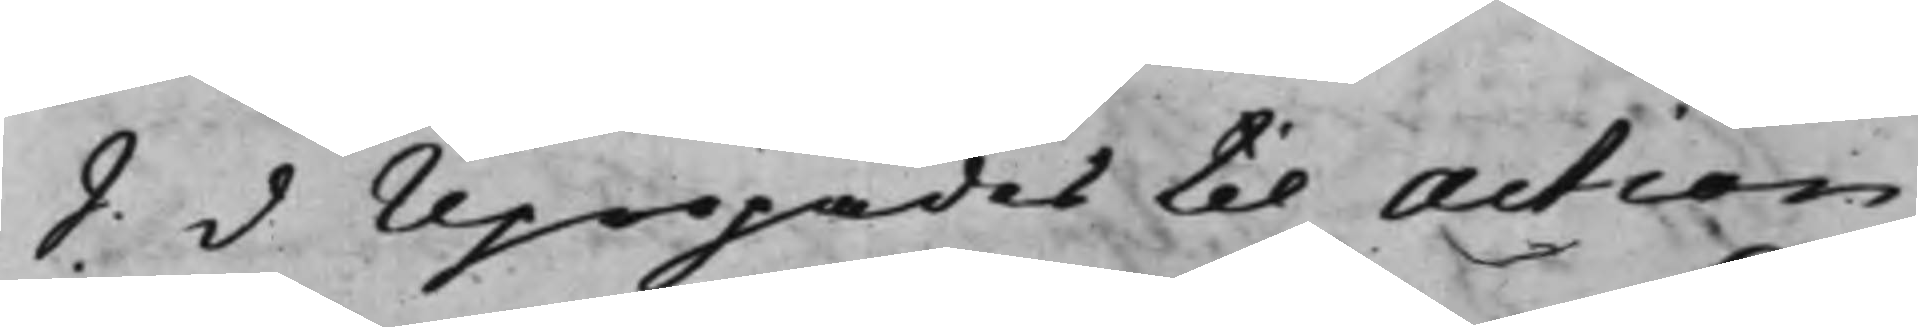S: d Upropades til Action
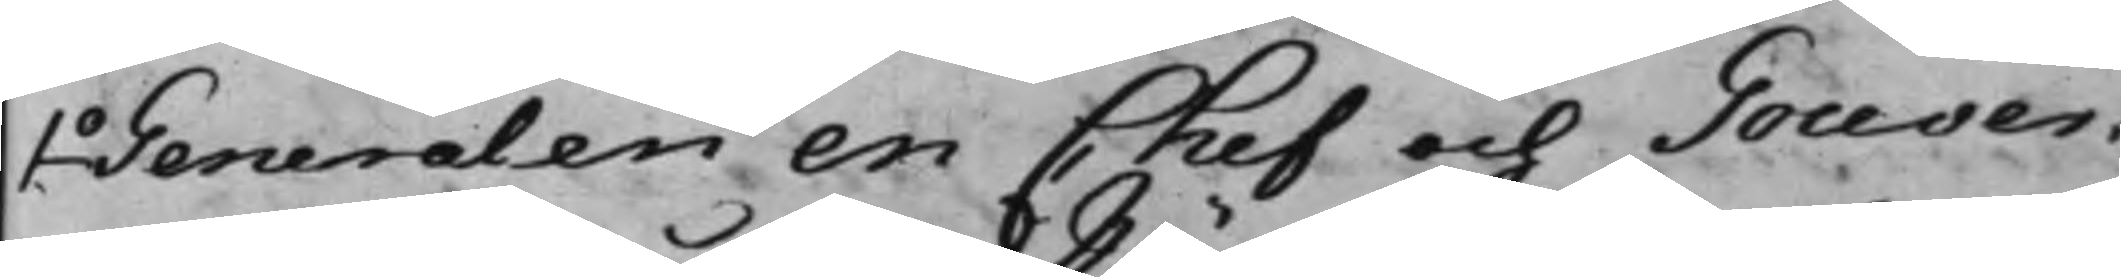1o Generalen en Chef och Gouver¬
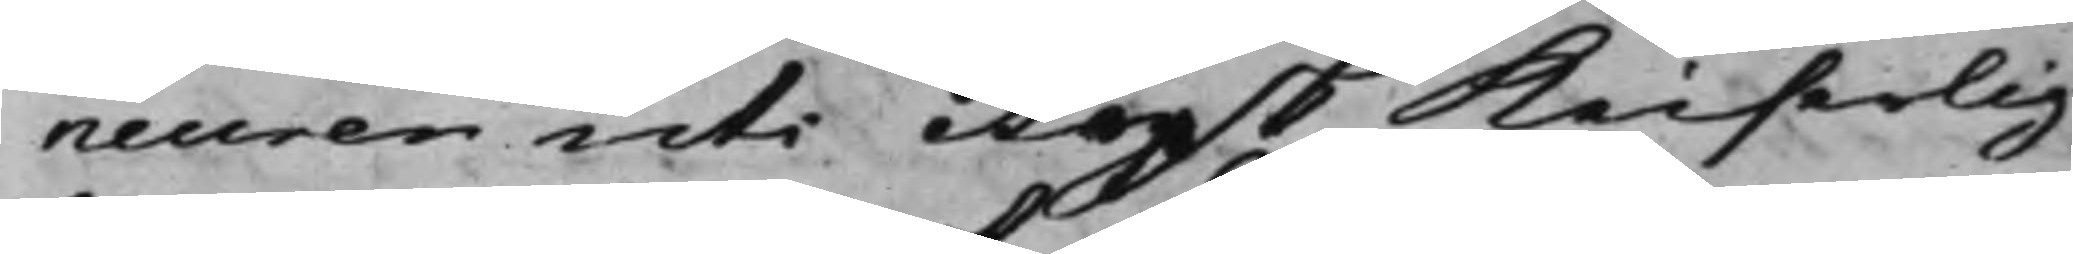neuren uti Rysk Keiserlig
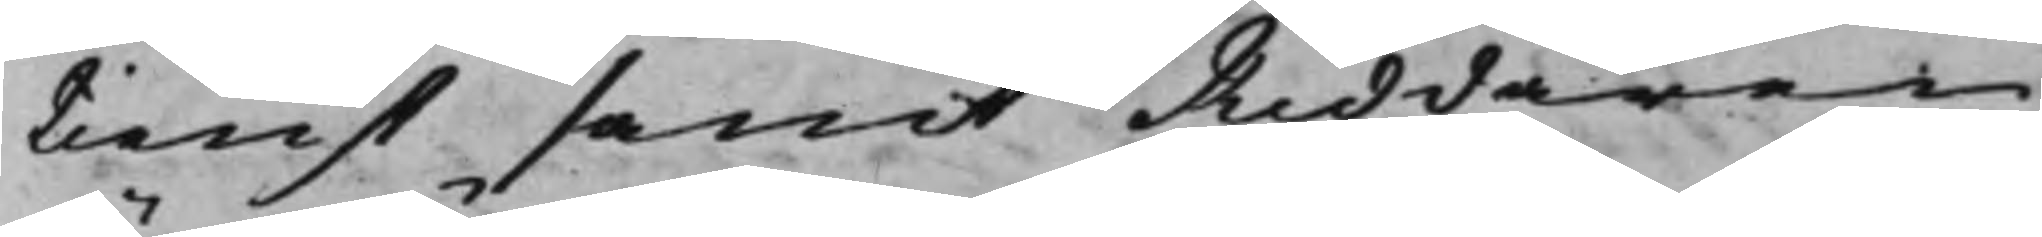tienst samt Riddaren
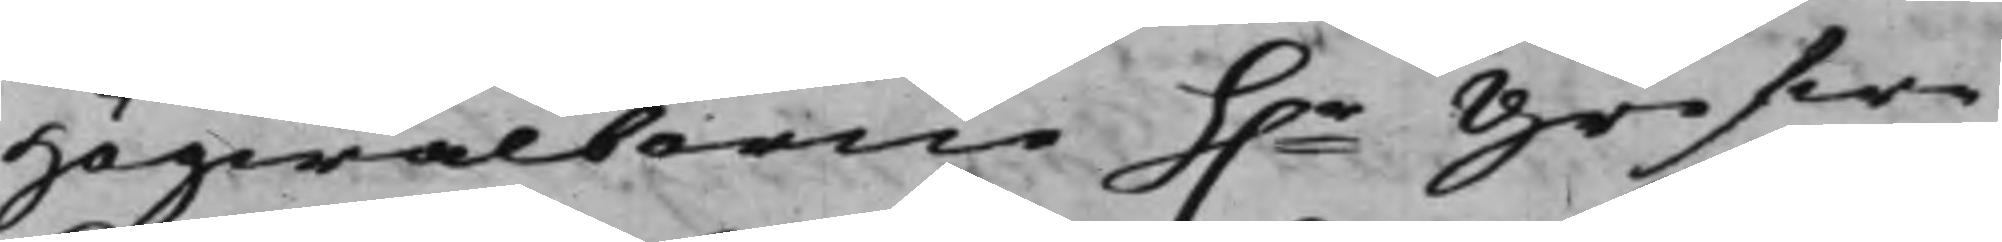Högwälborne h.r Grefwe
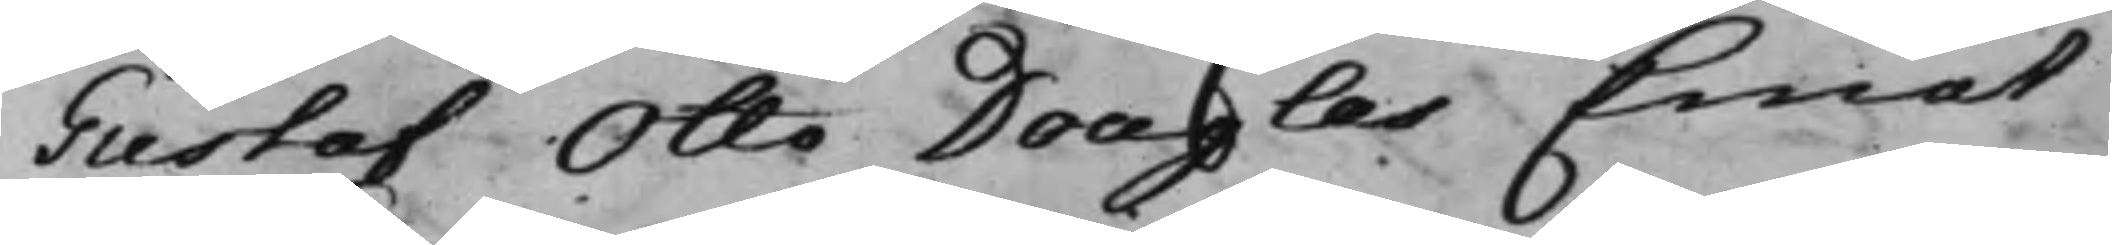Gustaf Otto Douglas Emot
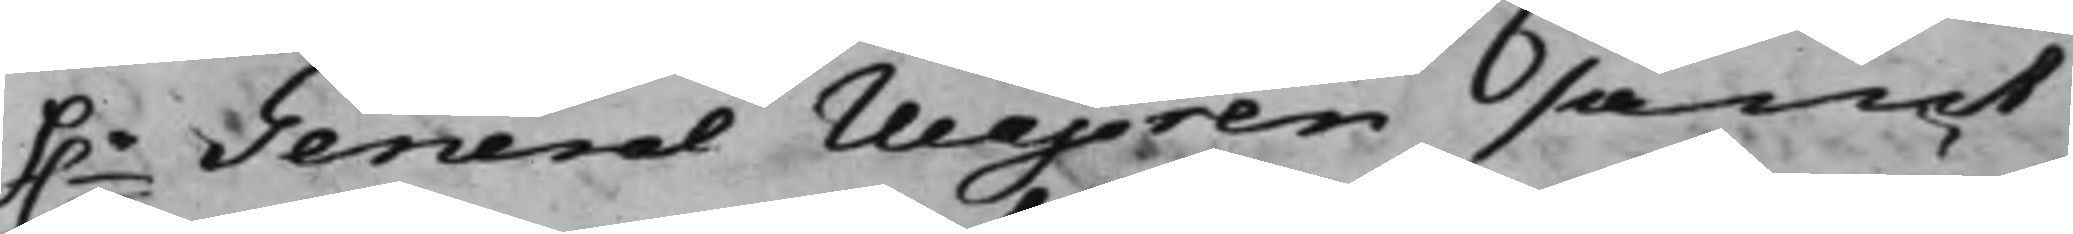h.r General Majoren samt
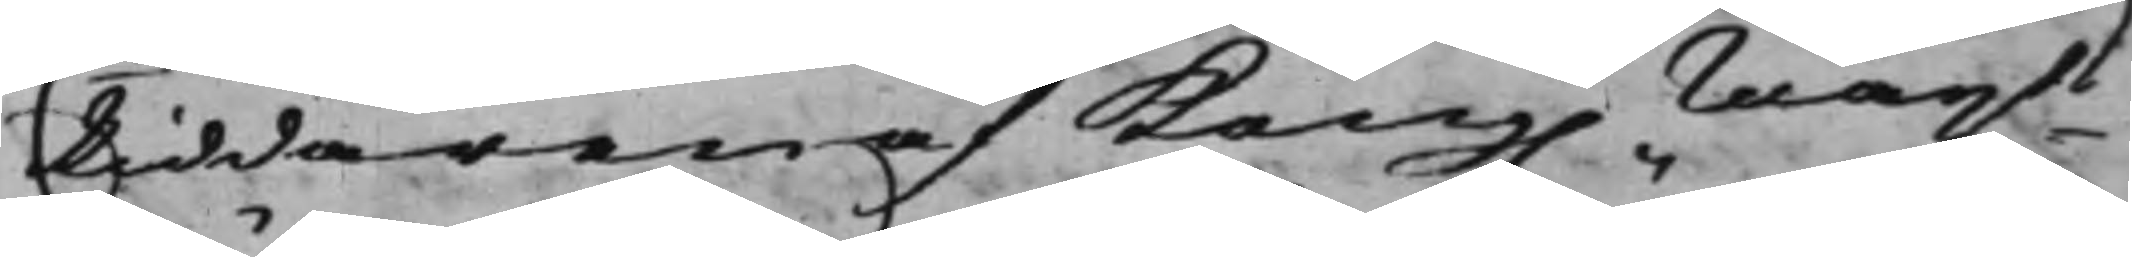Riddaren af Kong. Mayts
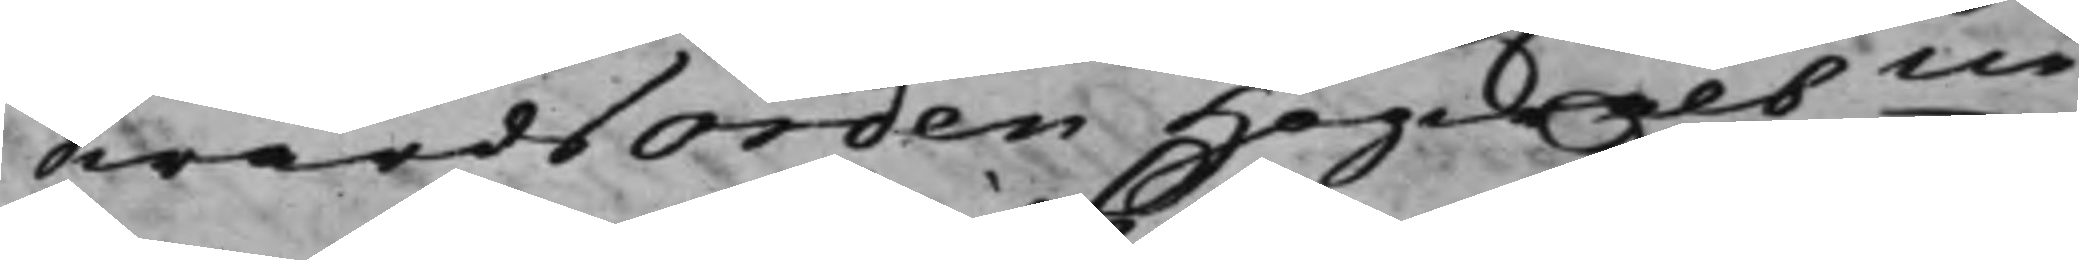SwärdsOrden Högwälbne
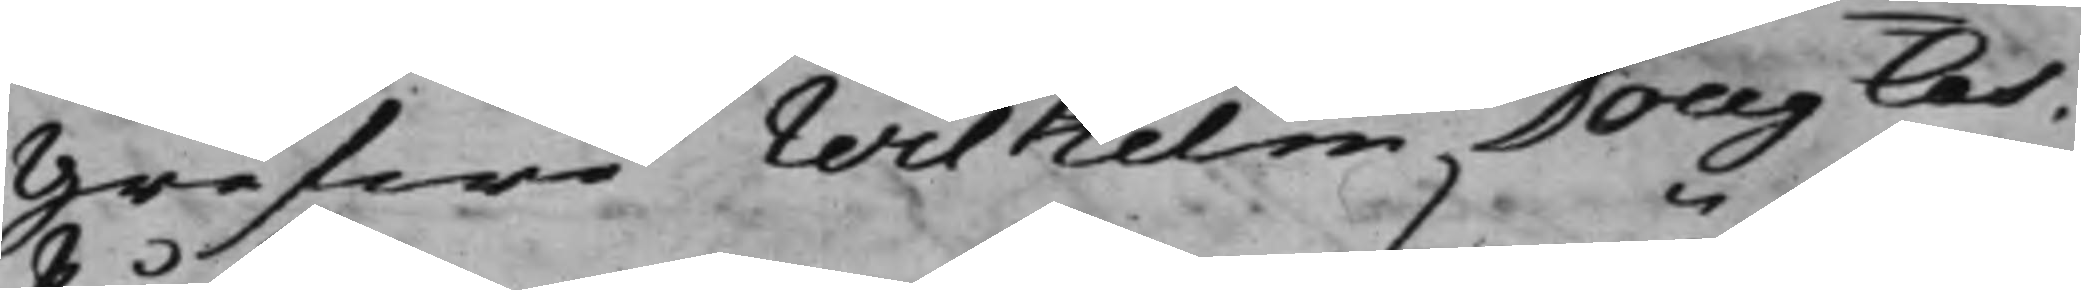Grefwe Wilhelm Douglas.
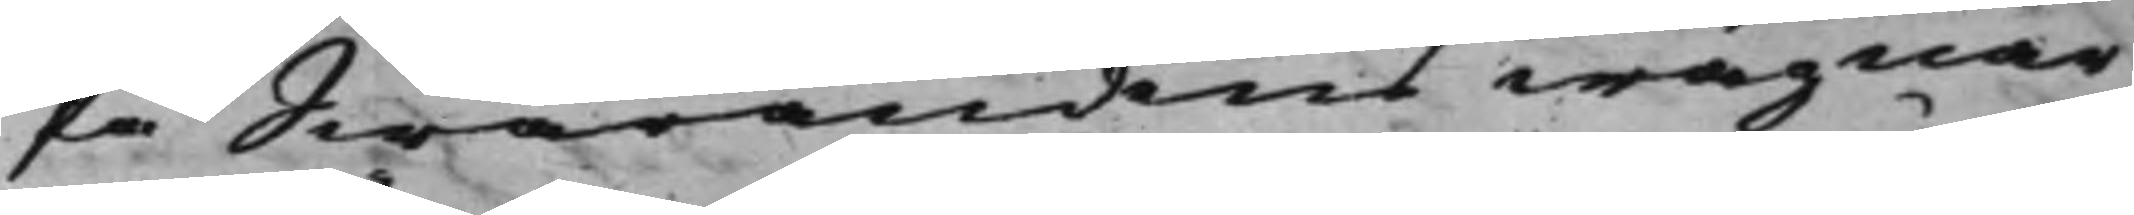På Swarandens wägnar
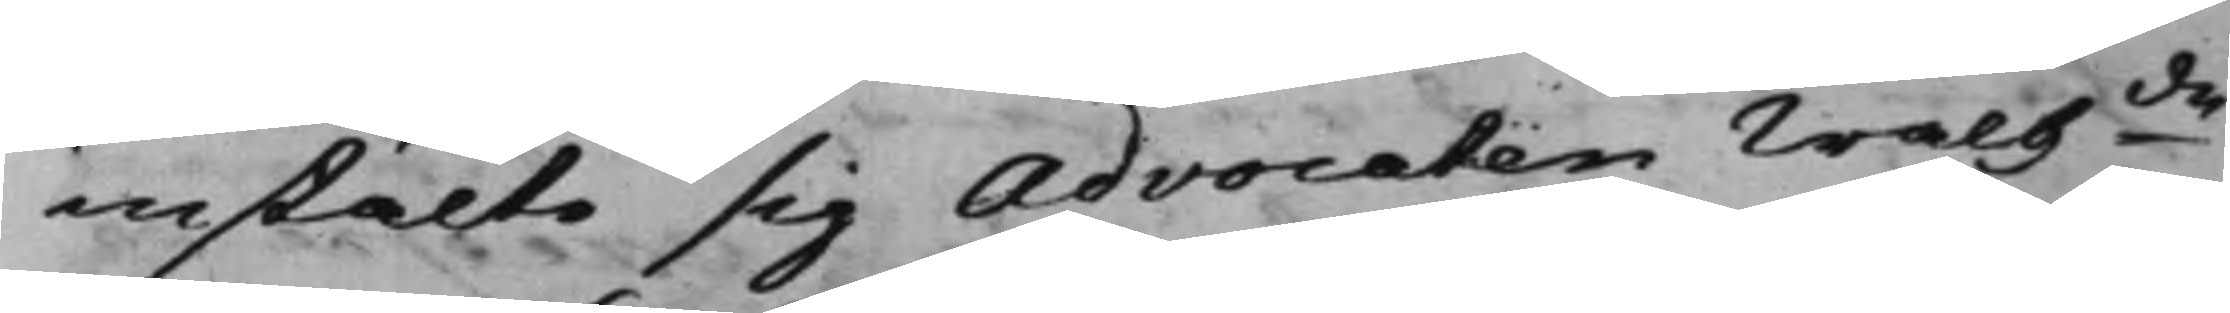instälte sig Advocaten Wälbde
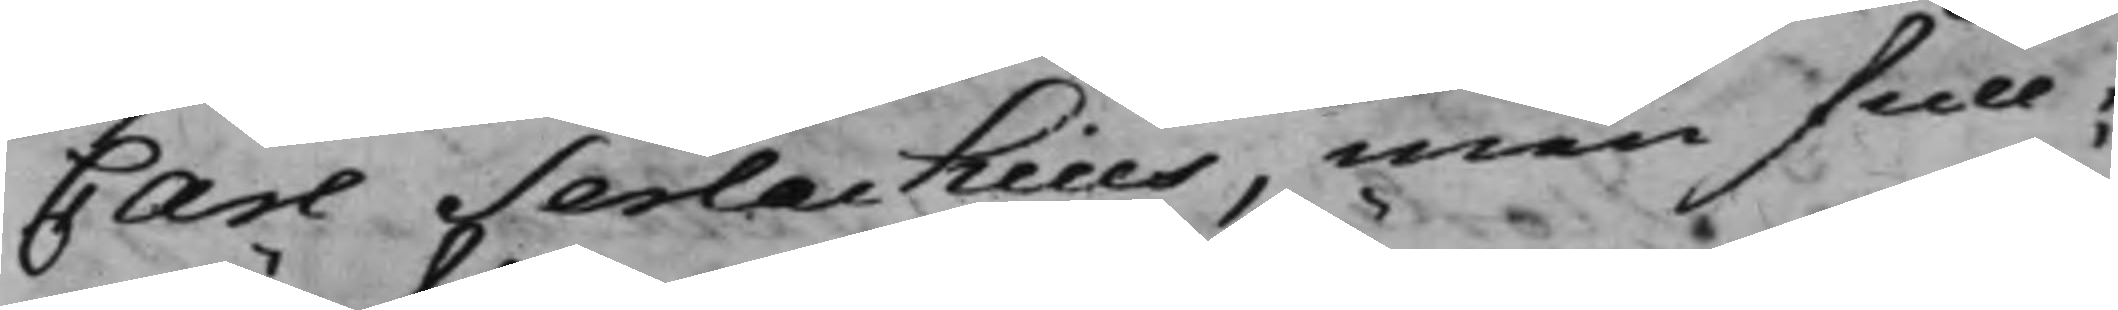Carl Serlachius, men Full¬
